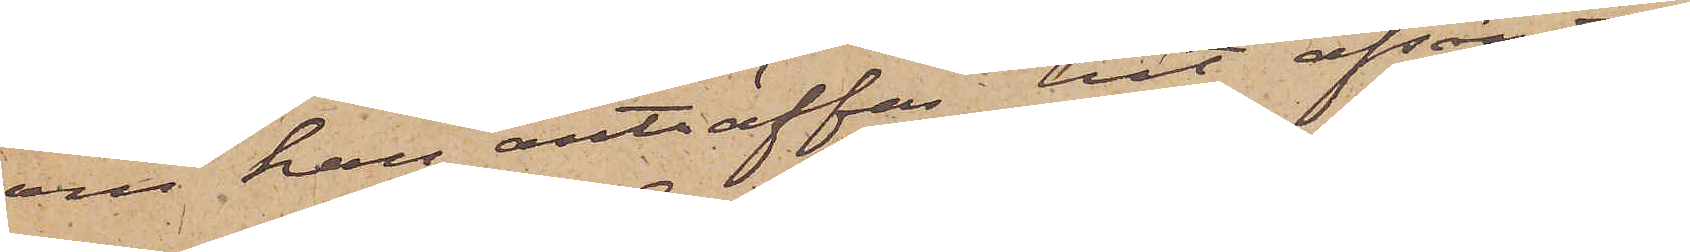om han anträffas, hit afsändas,
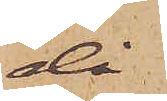då
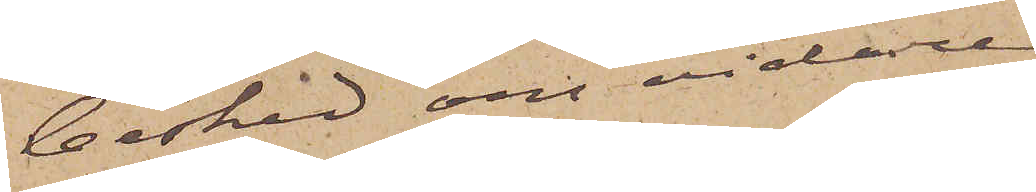besked om vidare
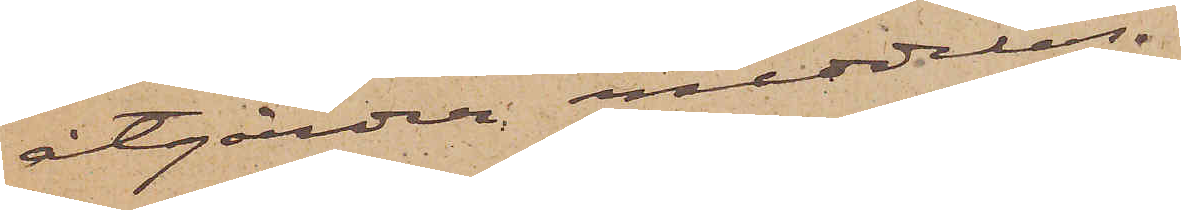åtgärder meddelas.
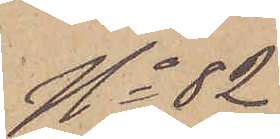No 82
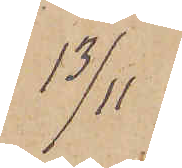13/11
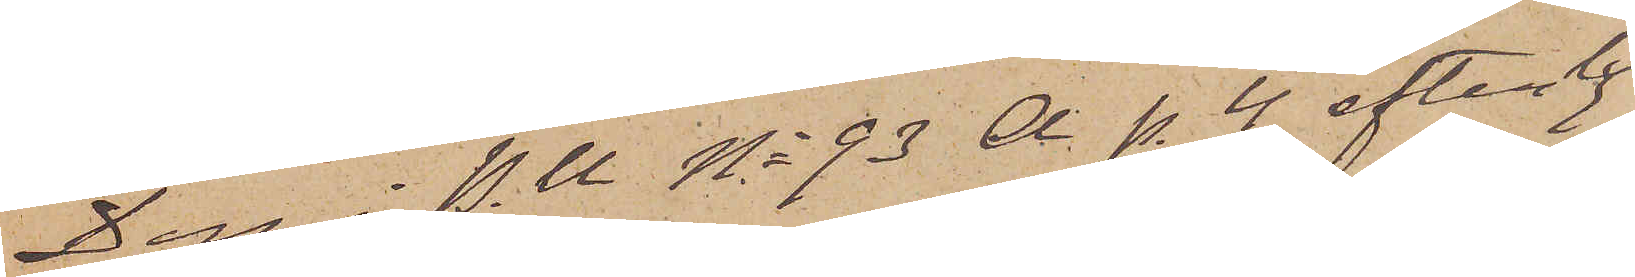Den i P.U. No 93 d. p. 4 efterly¬
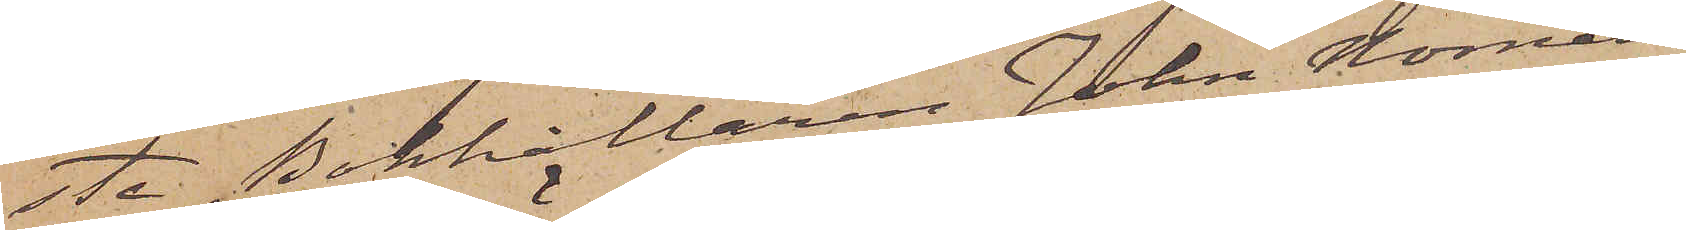ste Bokhållaren John Nornell
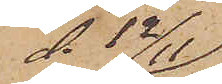d. 12/11
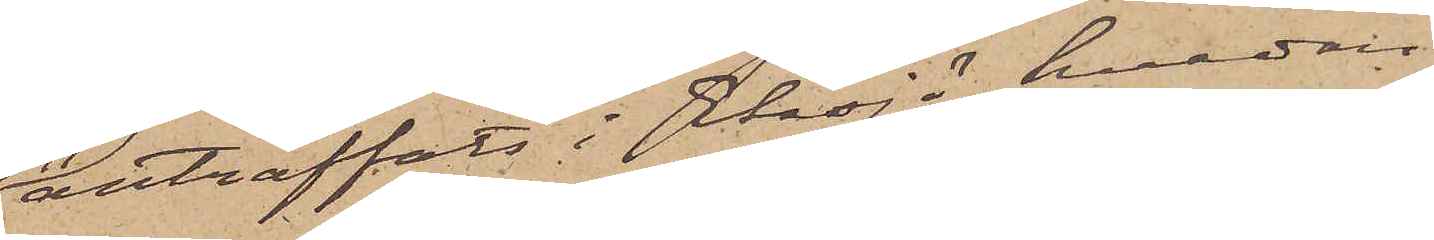anträffats i Eksjö, hvadan
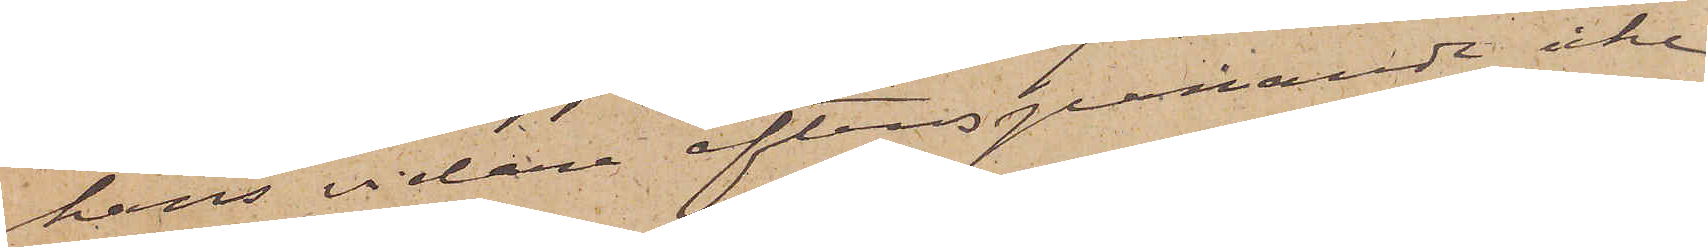hans vidare efterspaning icke
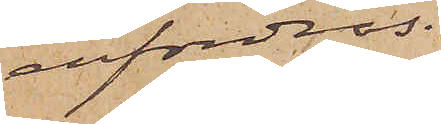erfordras.
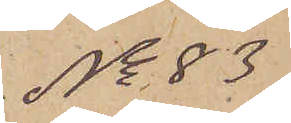No 83
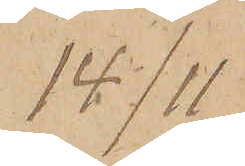14/11
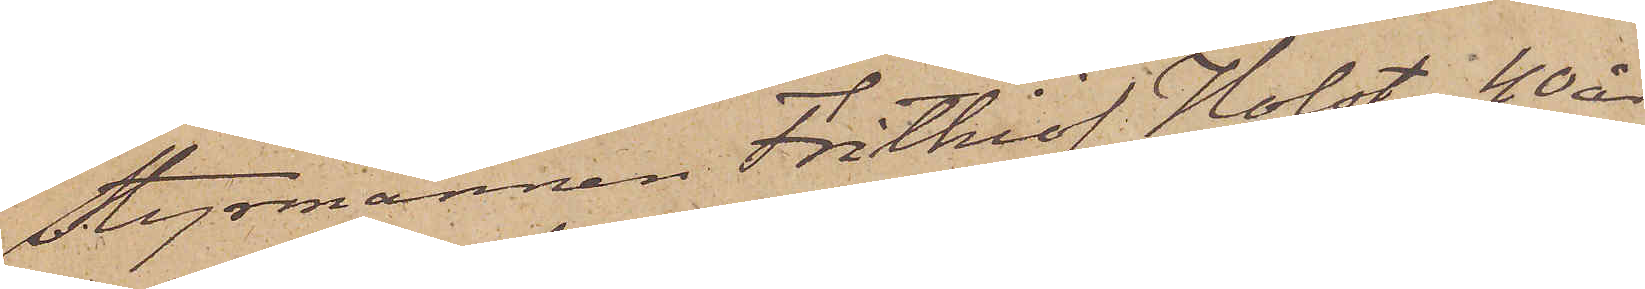Styrmannen Frithiof Holst, 40 år
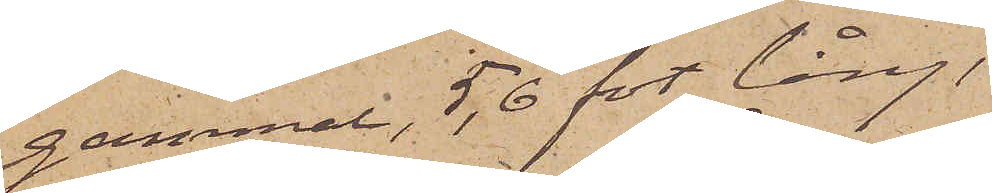gammal, 5,6 fot lång
